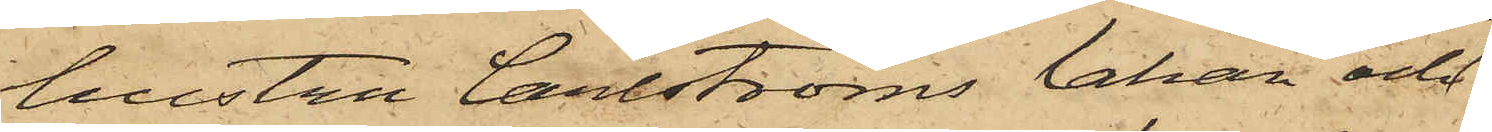hustru Carlströms lakan och
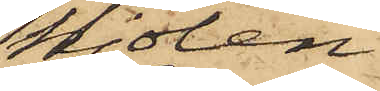kjolen
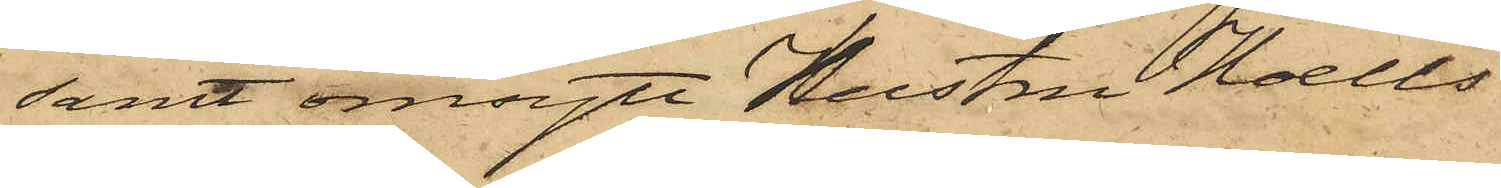samt omsytt Hustru Hoells
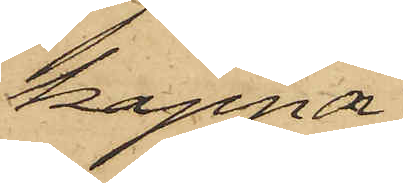kappa.
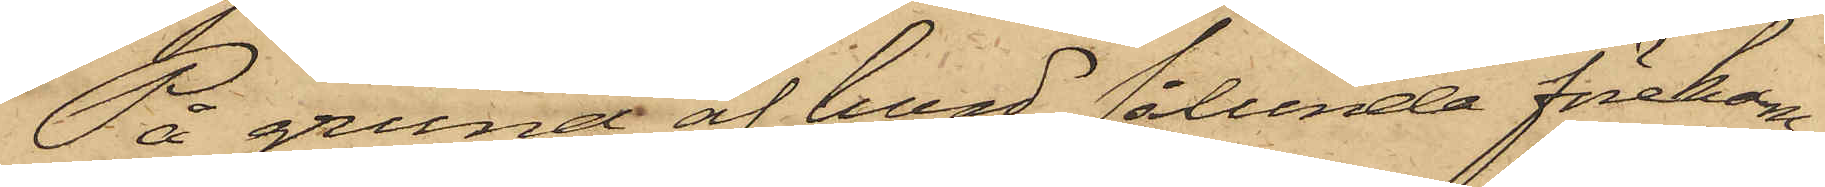På grund af hvad sålunda förekom¬
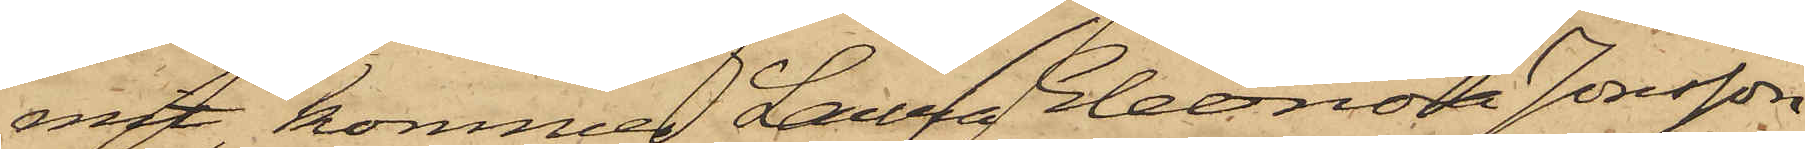mit, kommer Laura Eleonora Jonsson
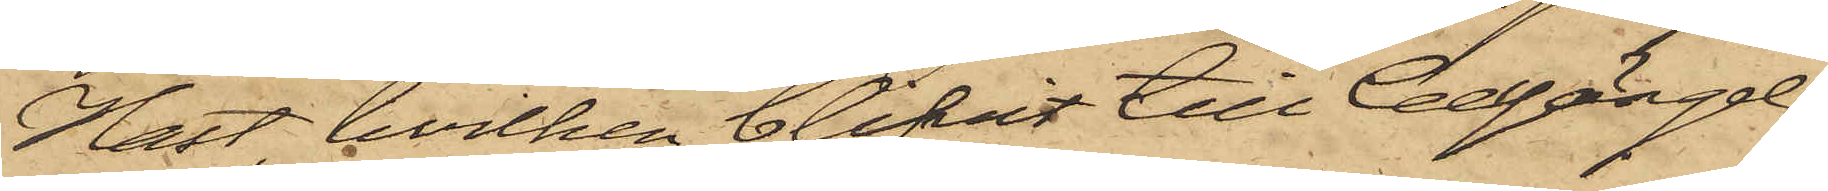Hast, hvilken blifvit till Cellfängel¬
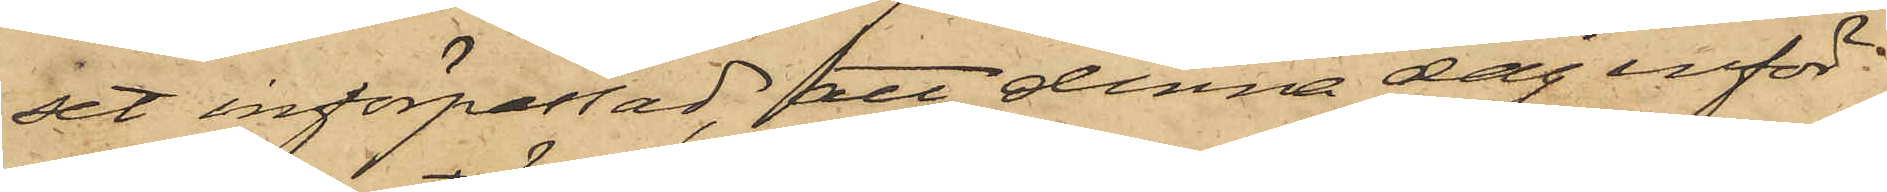set införpassad, att denna dag inför
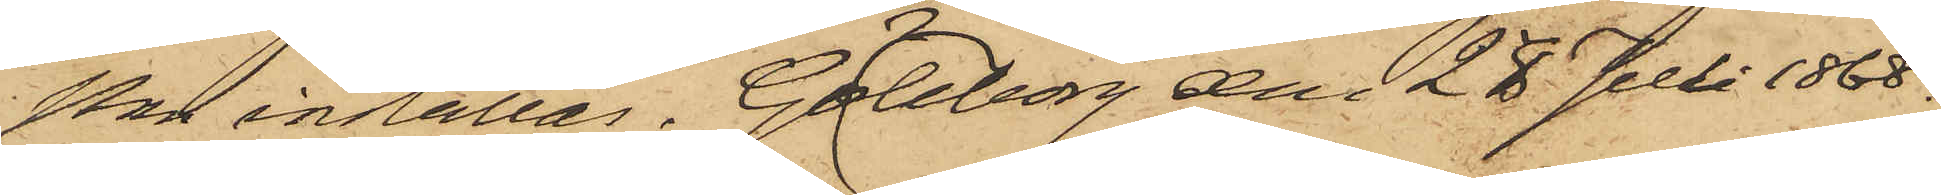Pkn inställas. Göteborg den 28 Juli 1868.
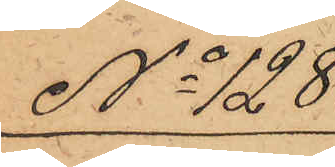No 128
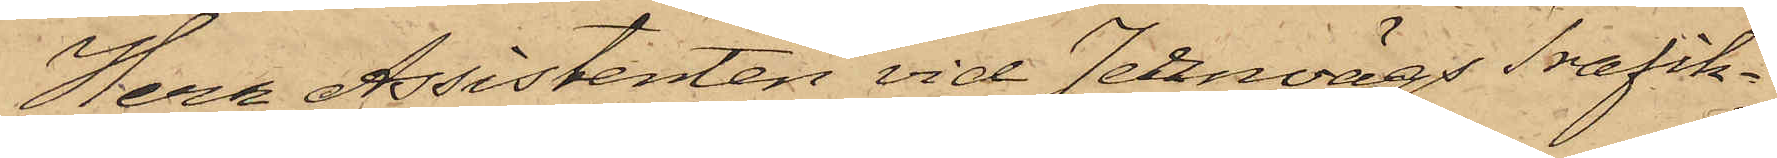Herr Assistenten vid Jernvägs Trafik¬
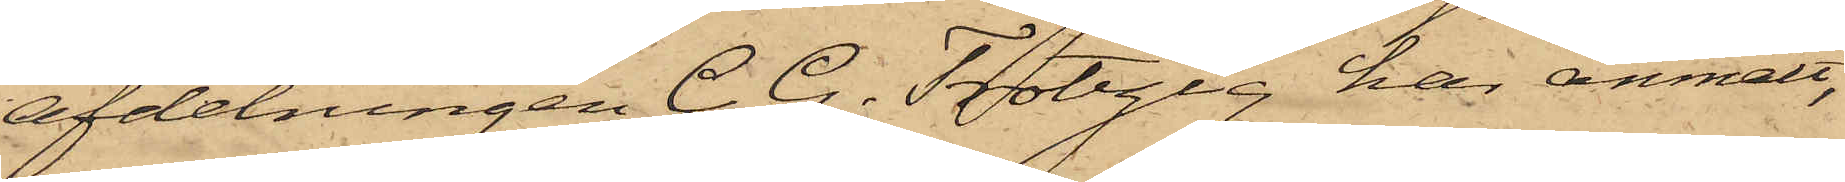afdelningen C. G. Trotzig har anmält,
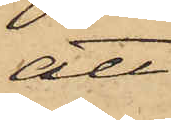att
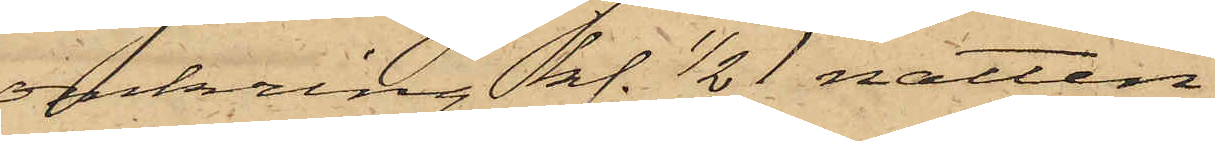omkring kl. 1/2 1 natten
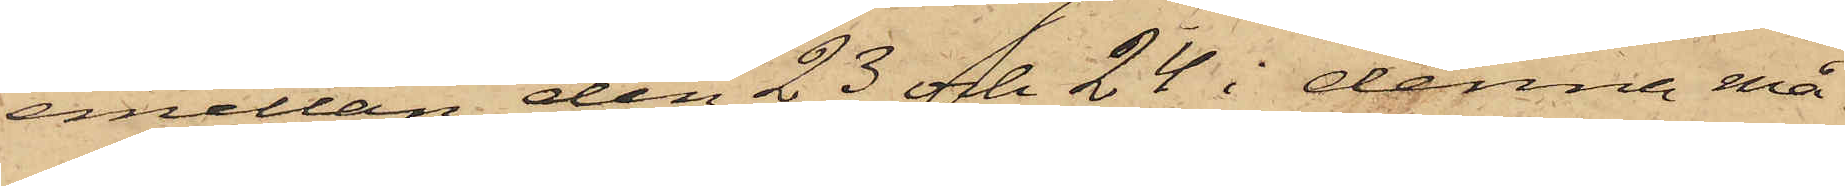emellan den 23 och 24 i denna må¬
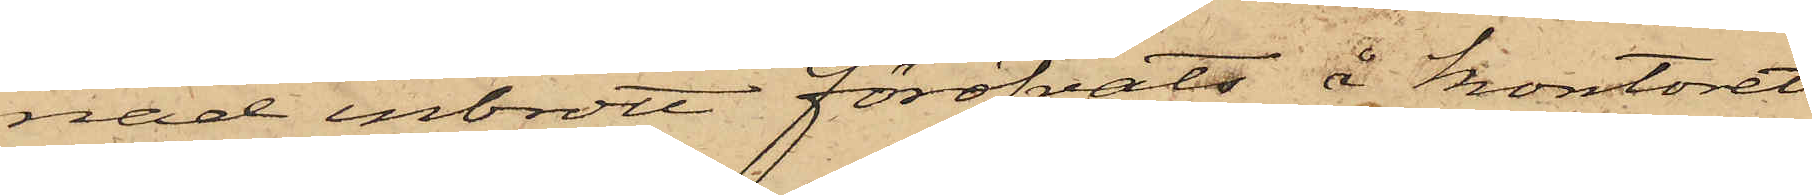nad inbrott föröfvats å kontoret
